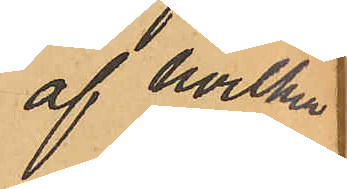af hvilket
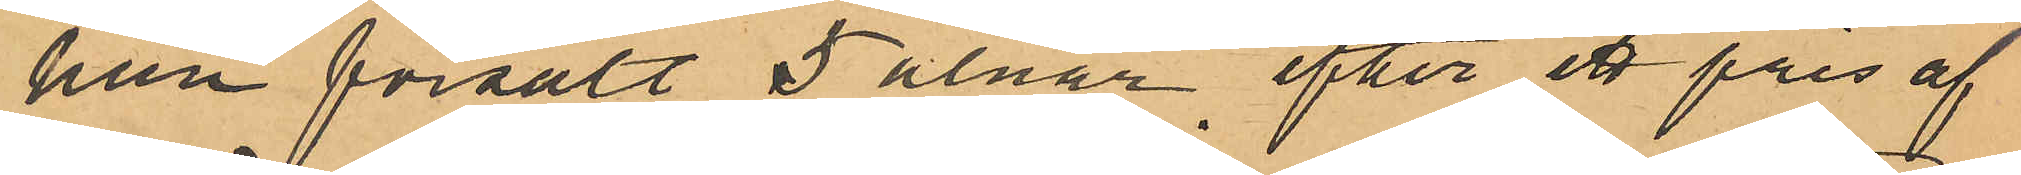hon försålt 5 alnar efter ett pris af
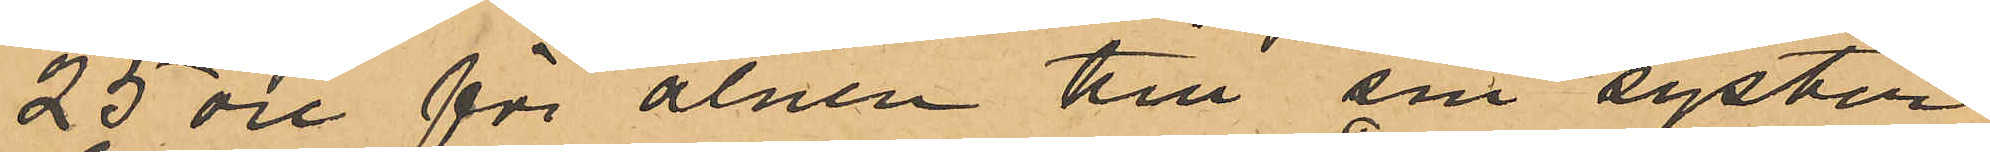25 öre för alnen till sin syster
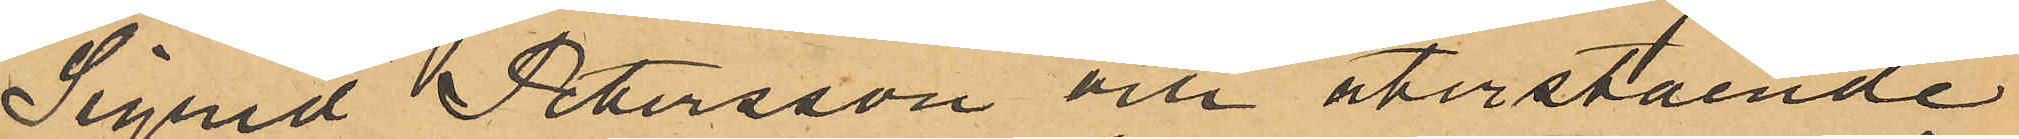Sigrid Petersson och återstående
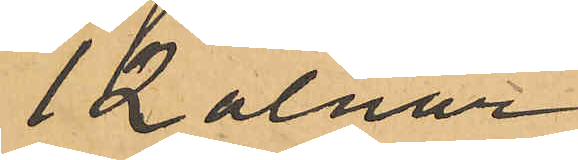12 alnar
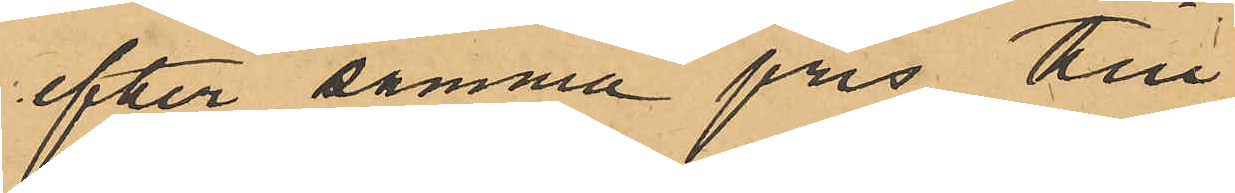efter samma pris till
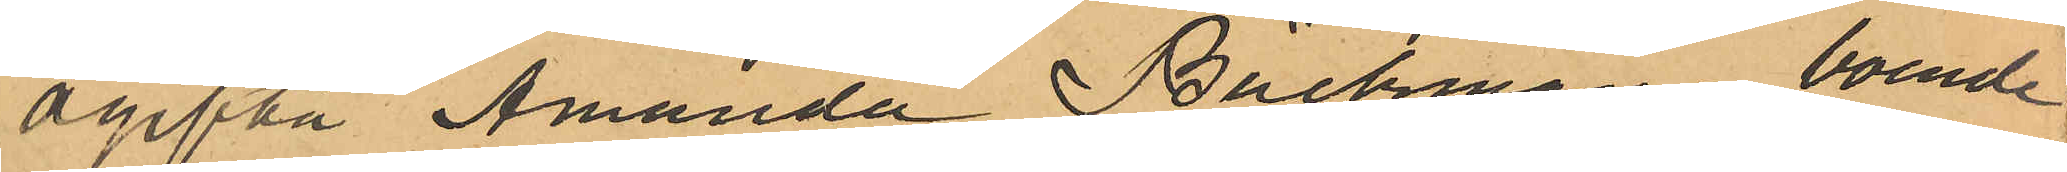ogifta Amanda Bäckman, boende
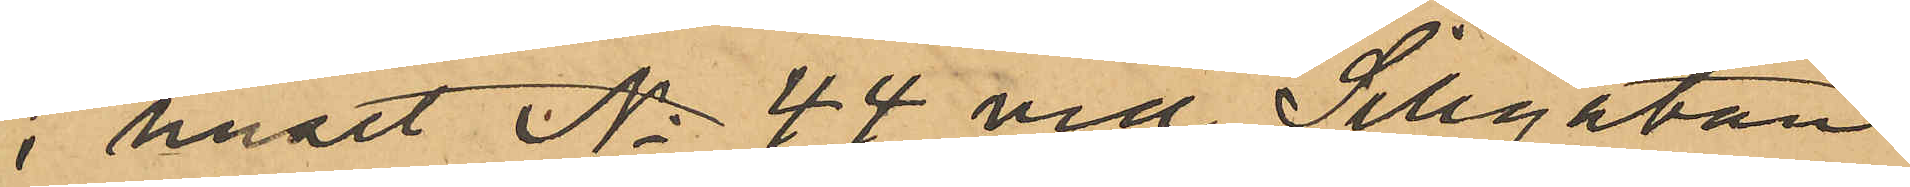i huset No 44 vid Sillgatan,
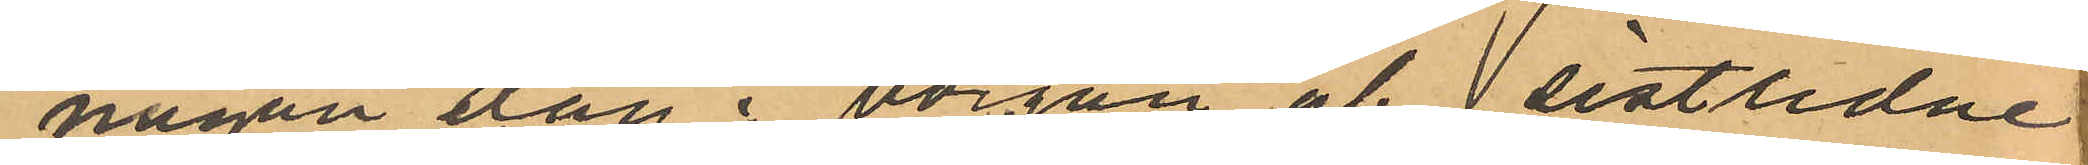någon dag i början af  sistlidne
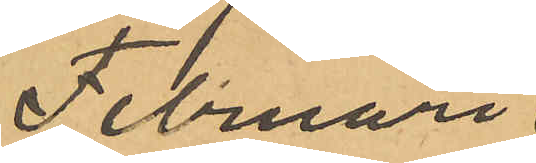Februari
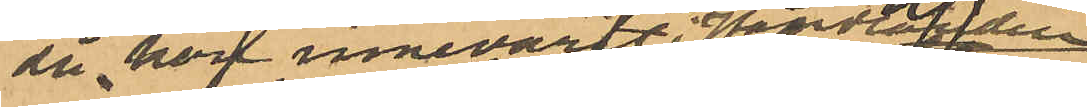då hon innevart i  Handladen
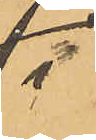i
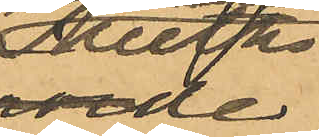Meeths
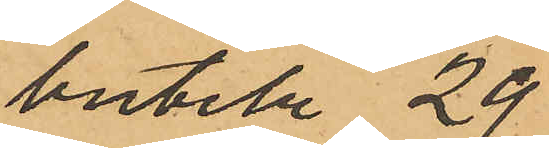butik 29
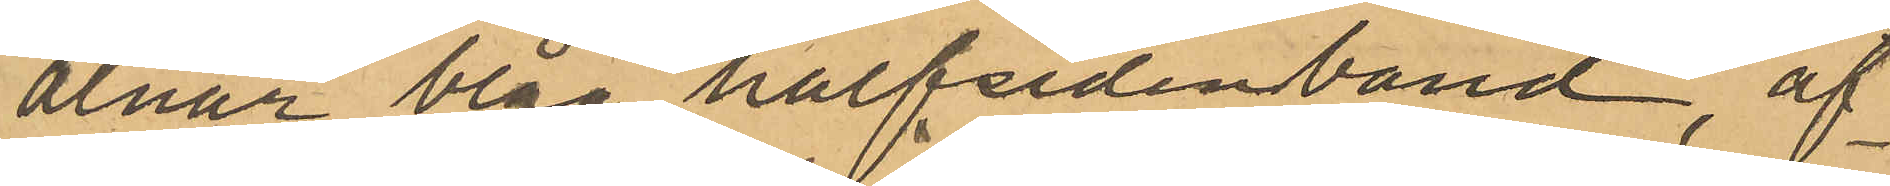alnar blåå halfsidenband, af
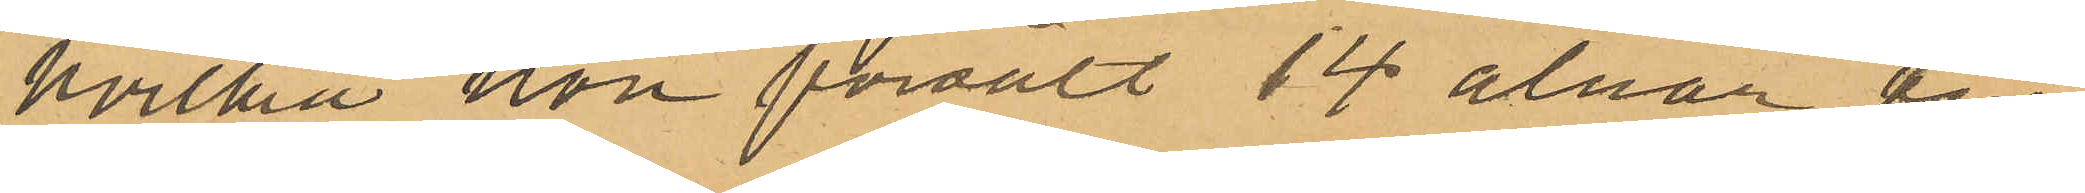hvilka hon försålt 14 alnar till
